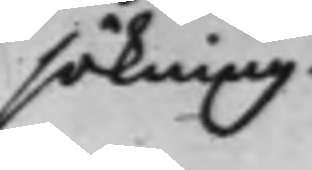sökning.
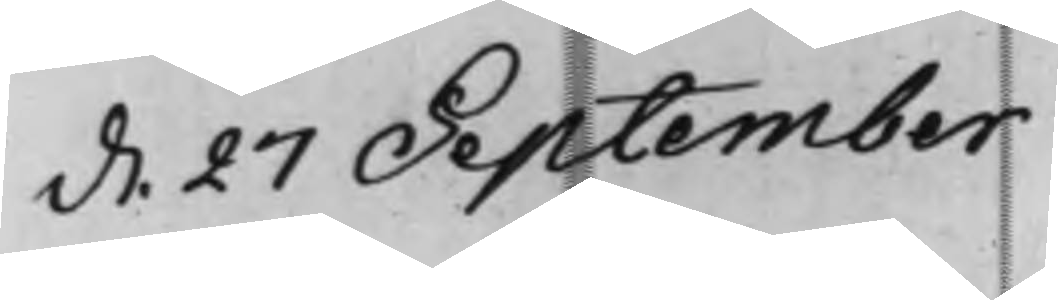d. 27 September
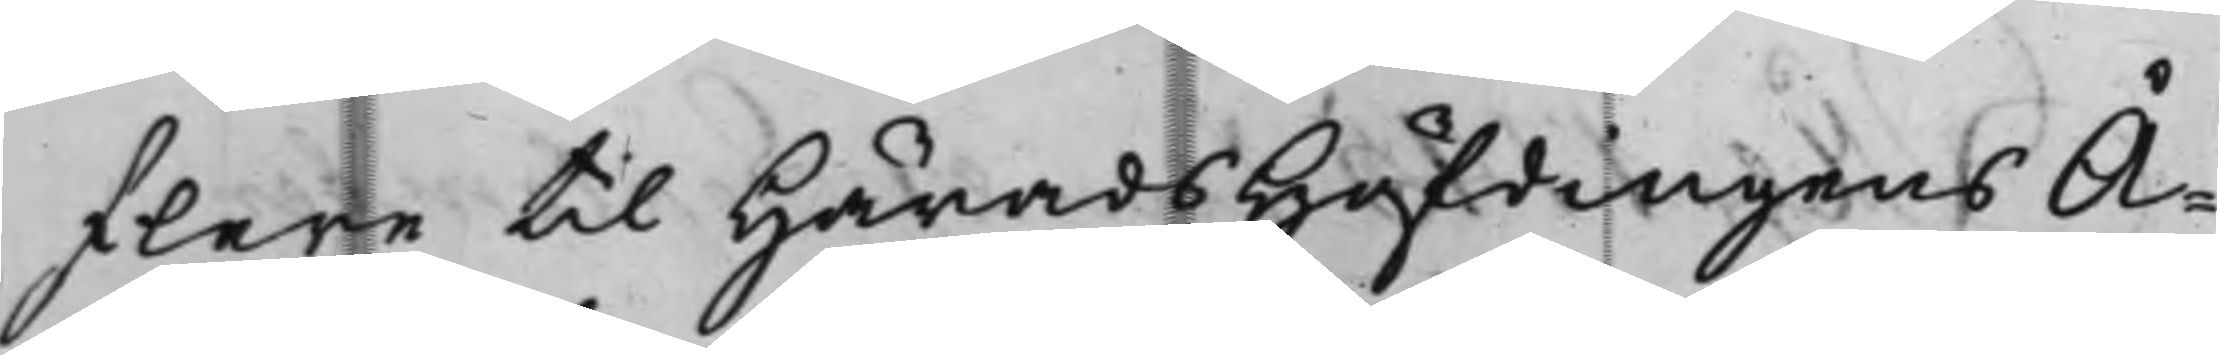flere til HäradsHöfdingens Å¬
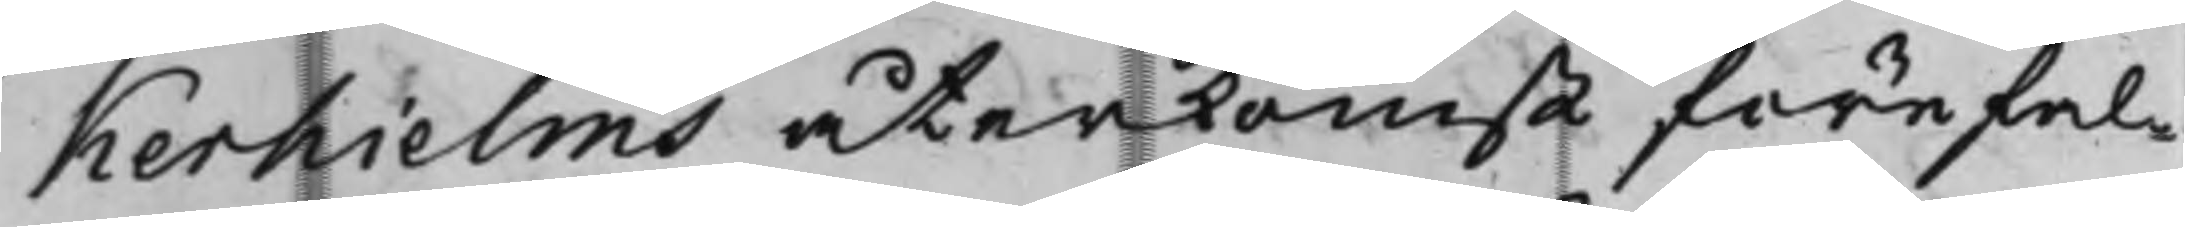kerhielms återkomst förefal¬
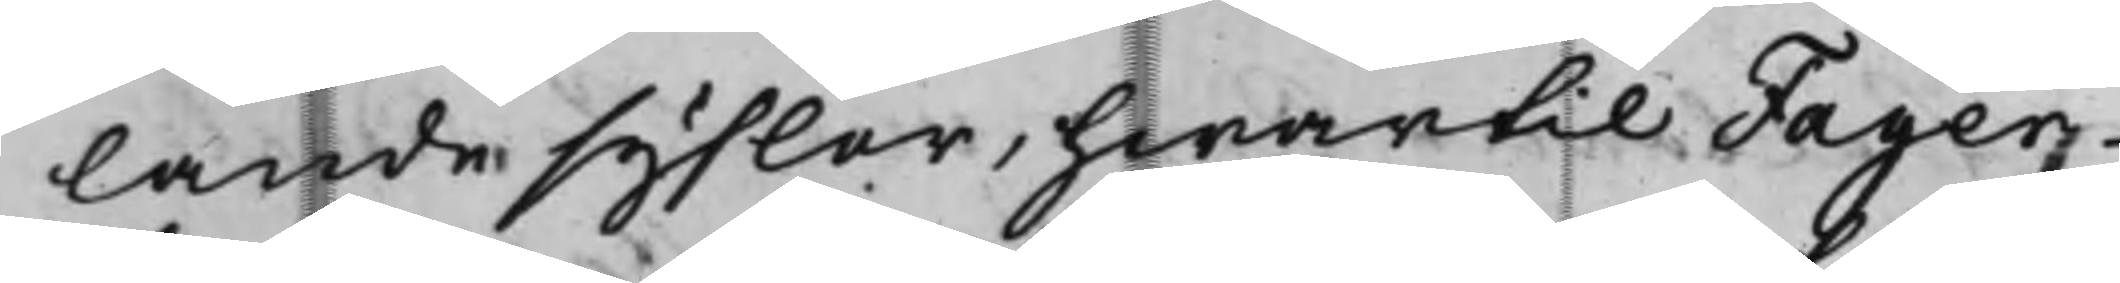lande syslor, hwartil Fager
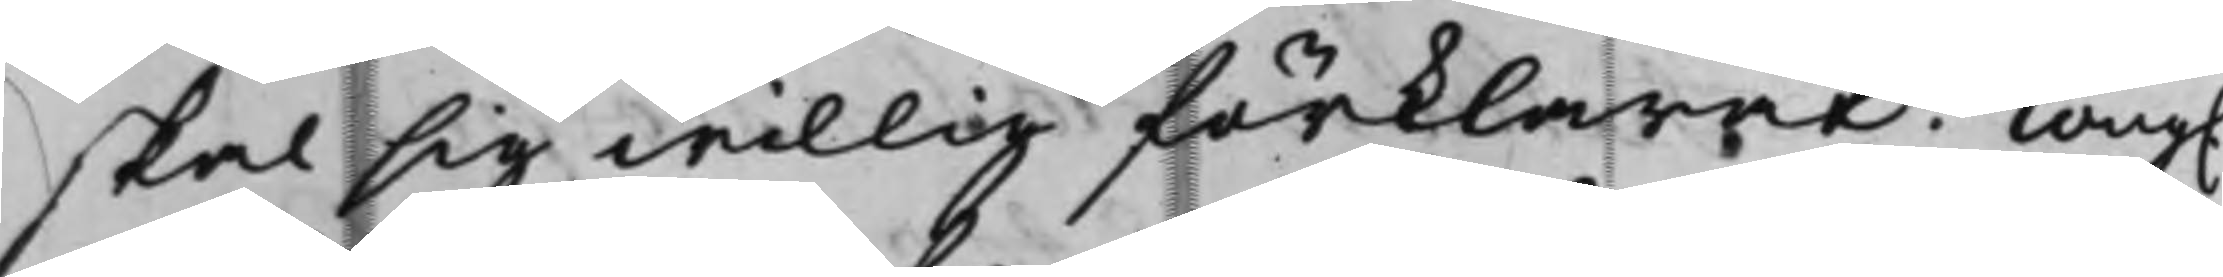skal sig willig förklarat. Kong.
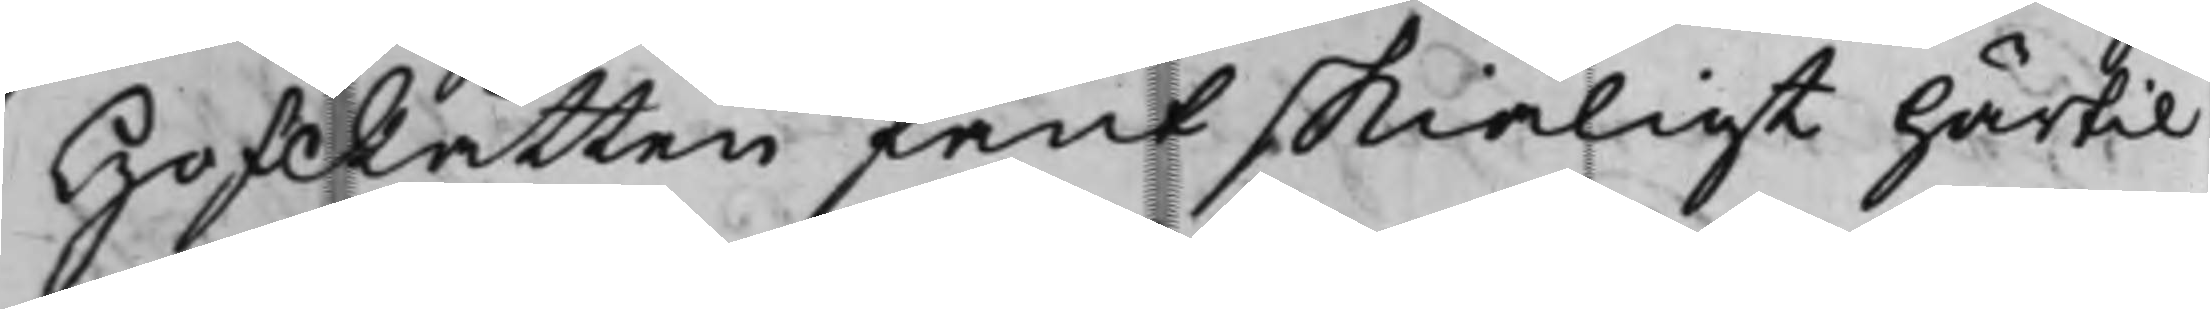HofRätten fant skiäligt härtil
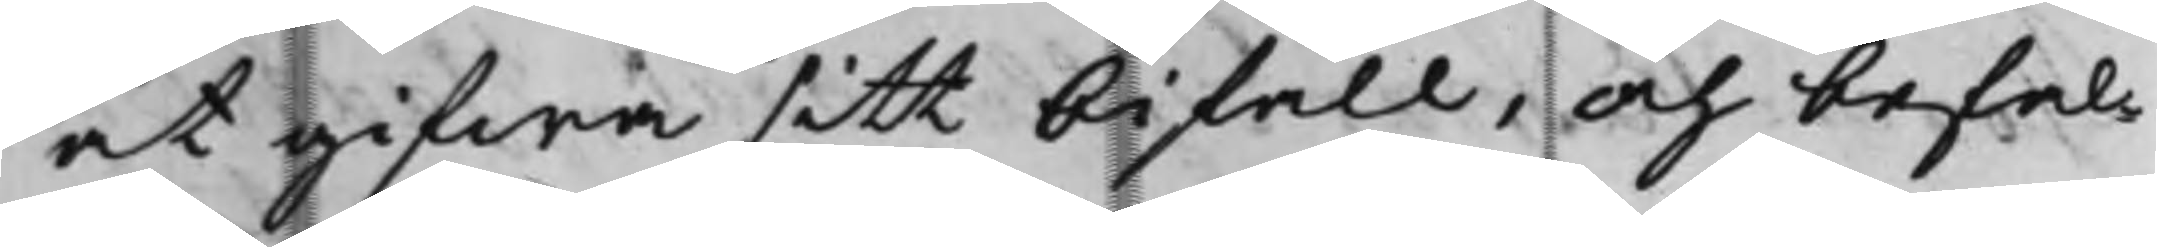at gifwa sitt bifall, och befal¬
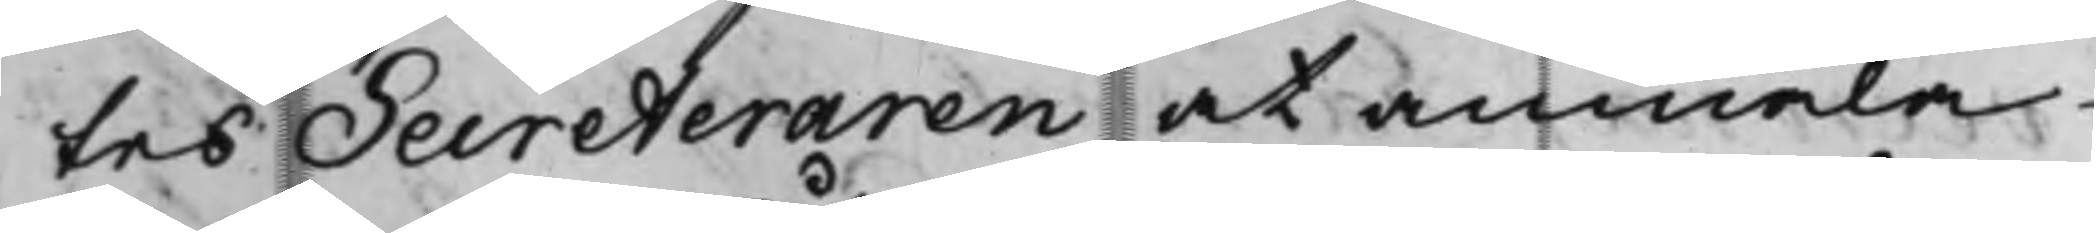tes Secreteraren at anmäla
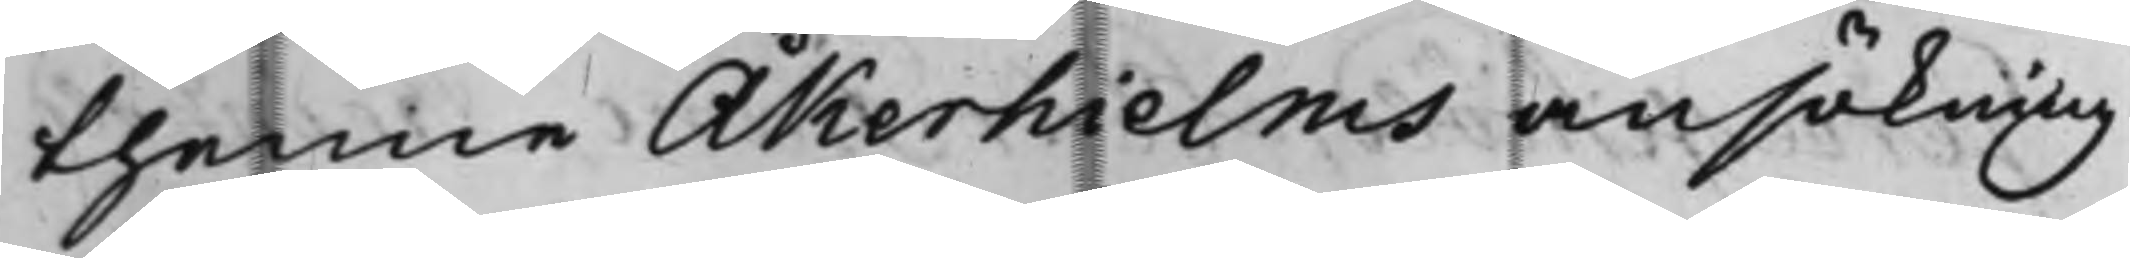thenne Åkerhielms ansökning
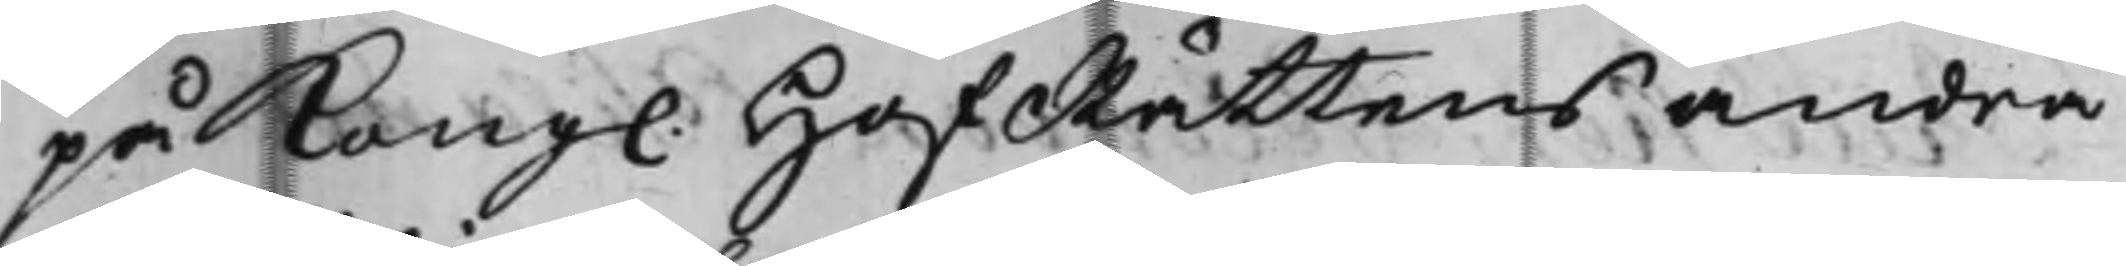på Kong. HofRättens andra
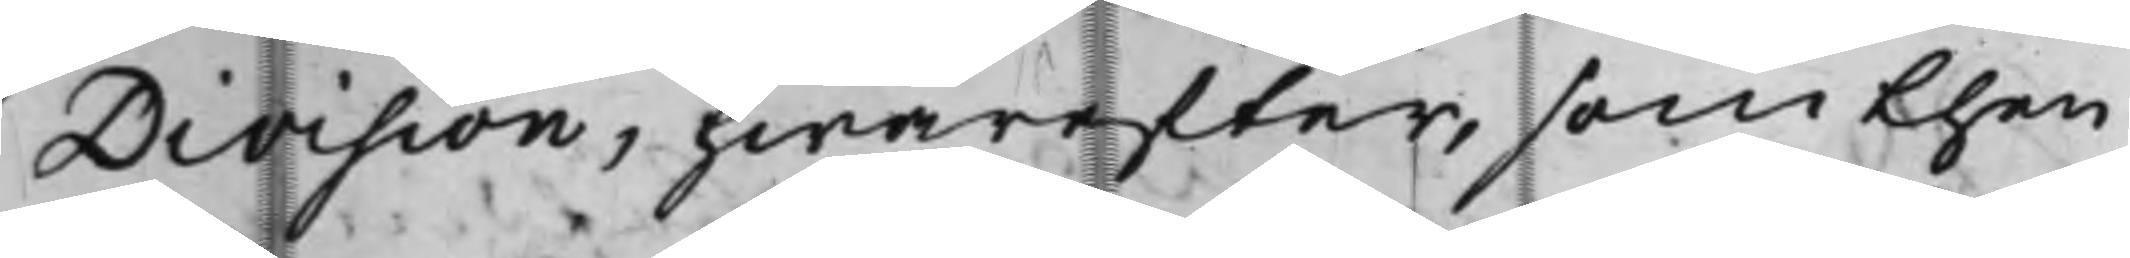Division, hwarefter, som then
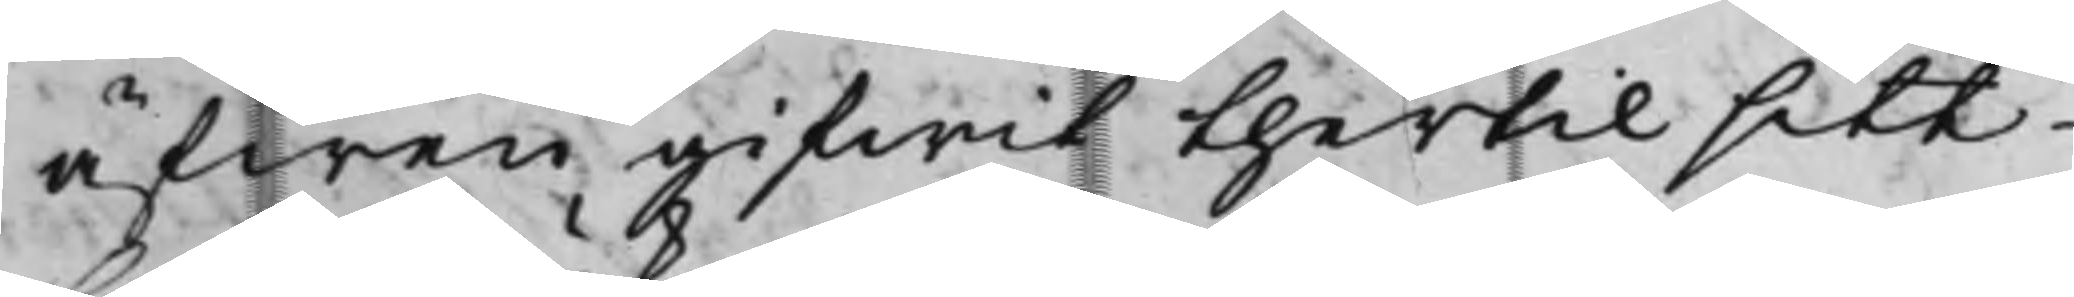äfwen gifwit thertil sitt
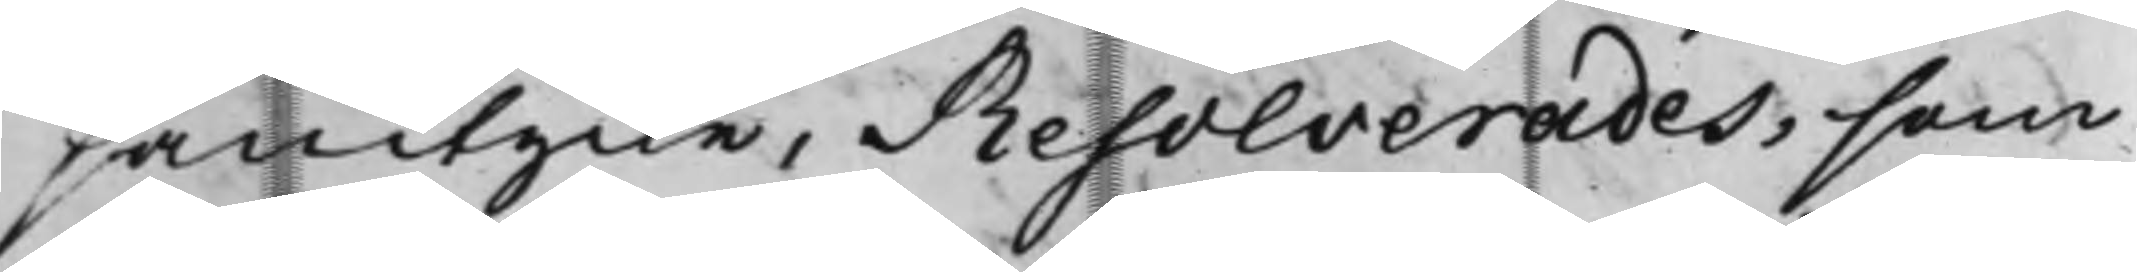samtycke, Resolverades, som
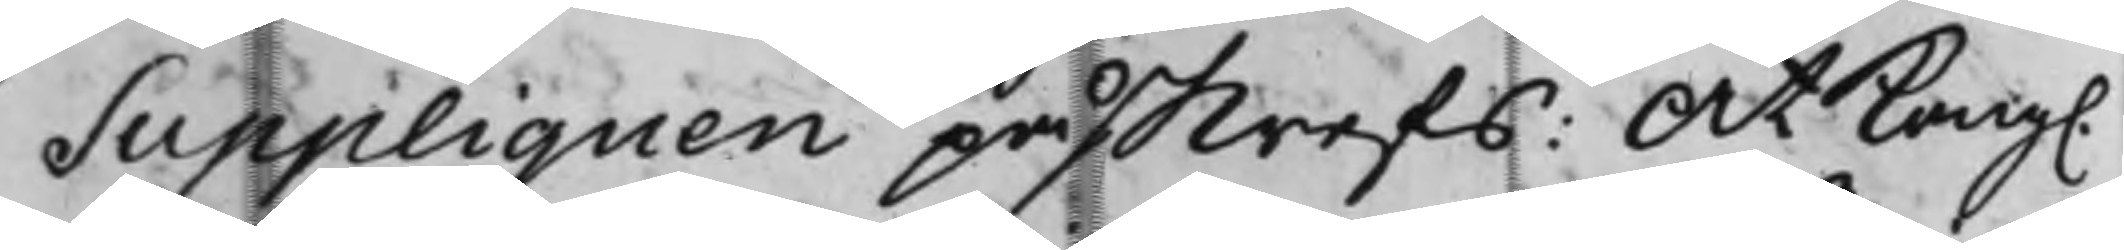Suppliquen pås-krefs: At Kong.
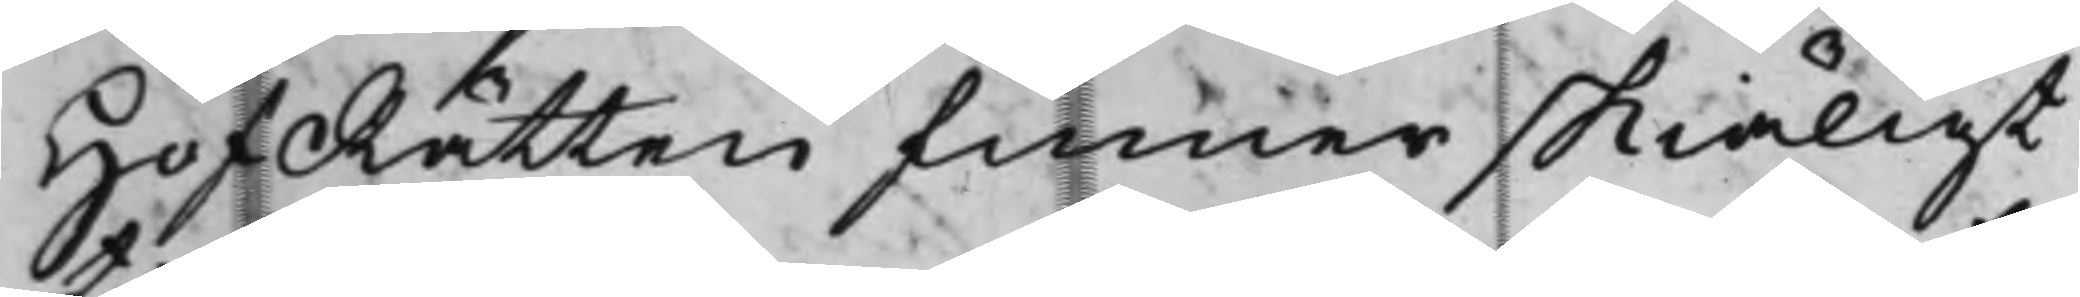HofRätten finner skiäligt
